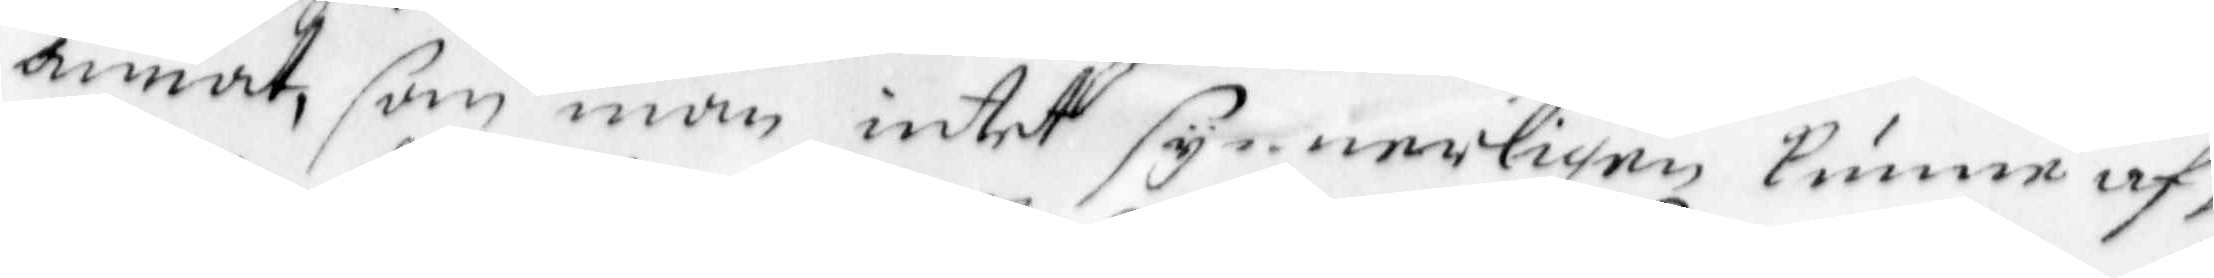annat, som man intet synnerligen kunne af¬
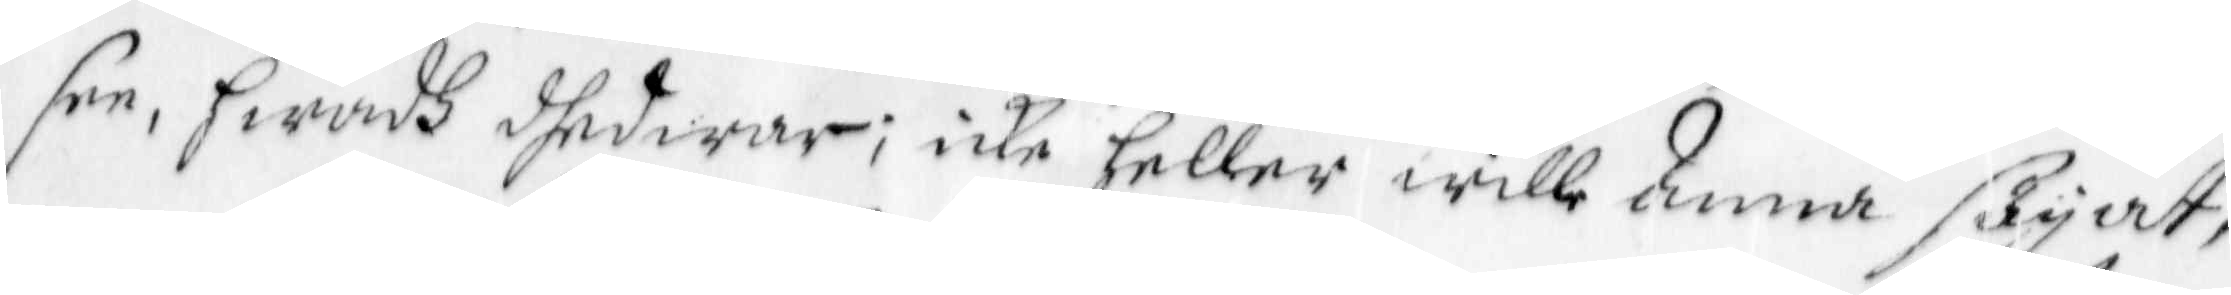see, hwadh dhed war; icke heller wille Anna säyat,
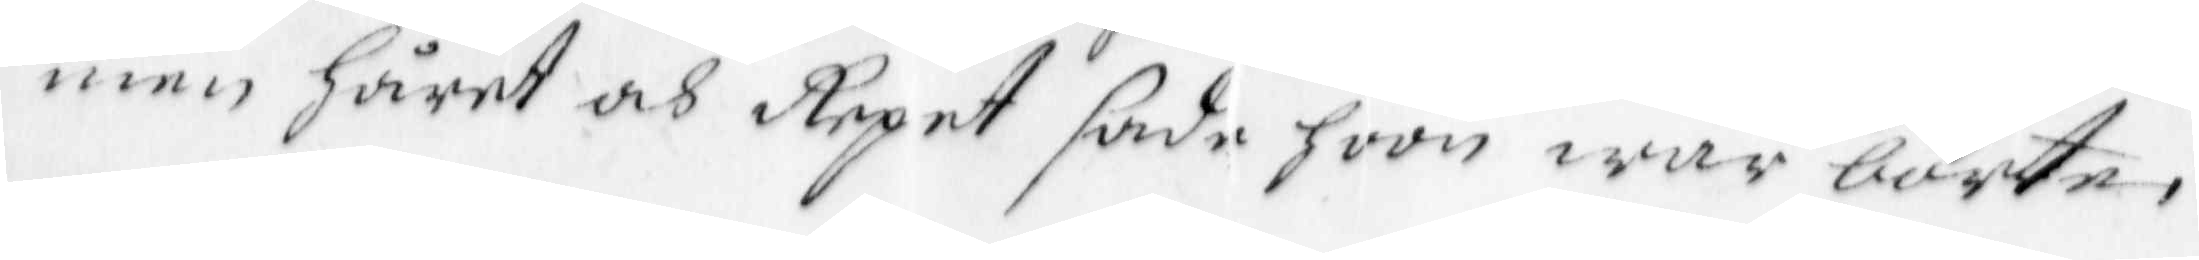men håret och Repet sade hoon war borte;
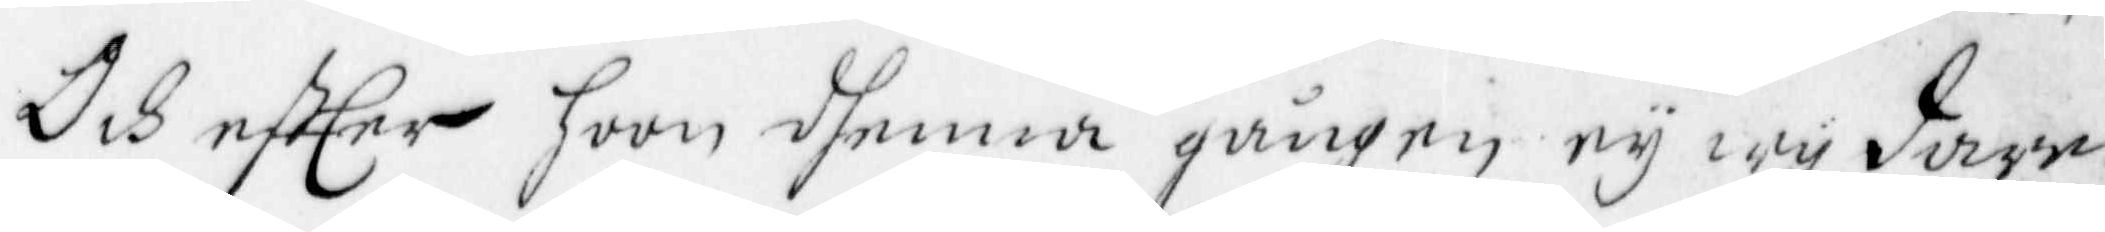Och eftEer hoon dhenna gången ey wy dare
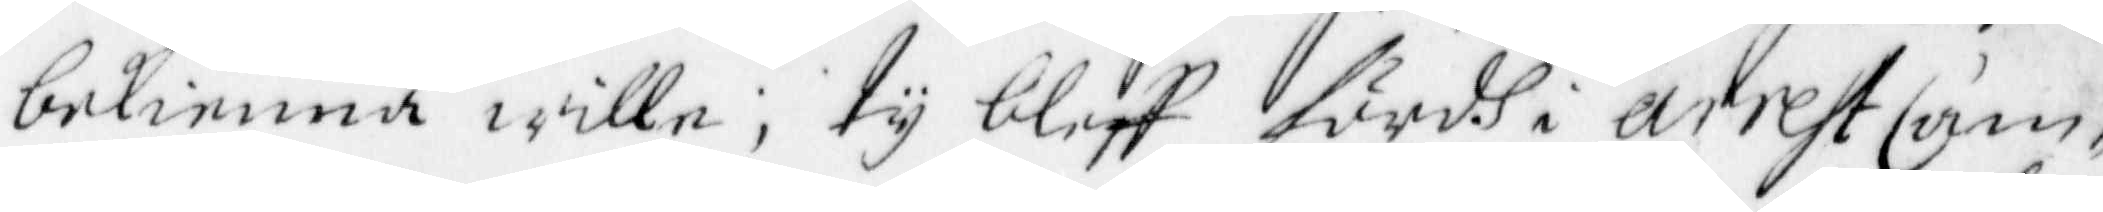bekienna wille, ty bleff fördh i arrest Cam¬
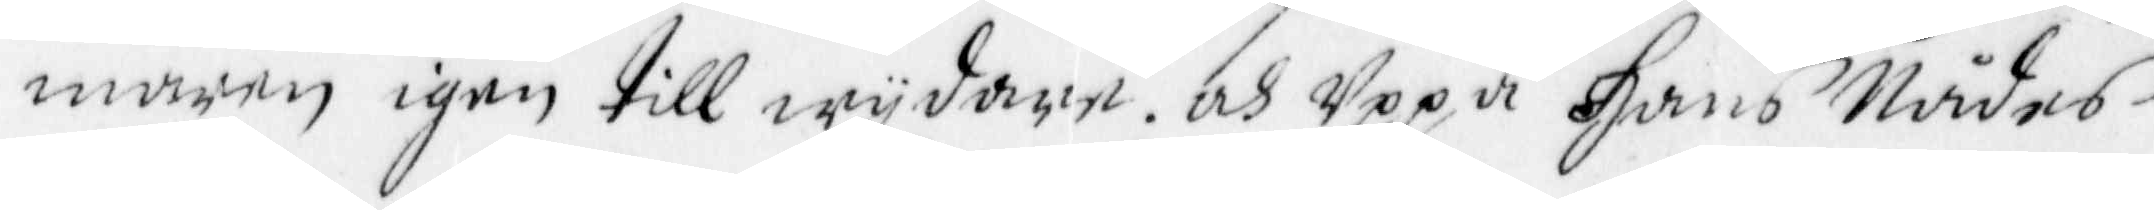maren igen till wydare. och Uppå Hans Nådes
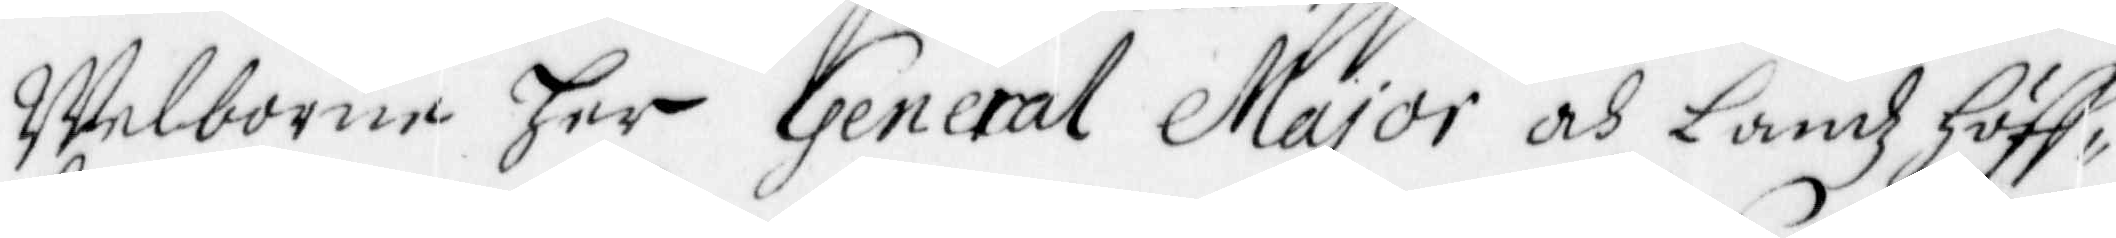Welborne her General Major och Landz Höff¬
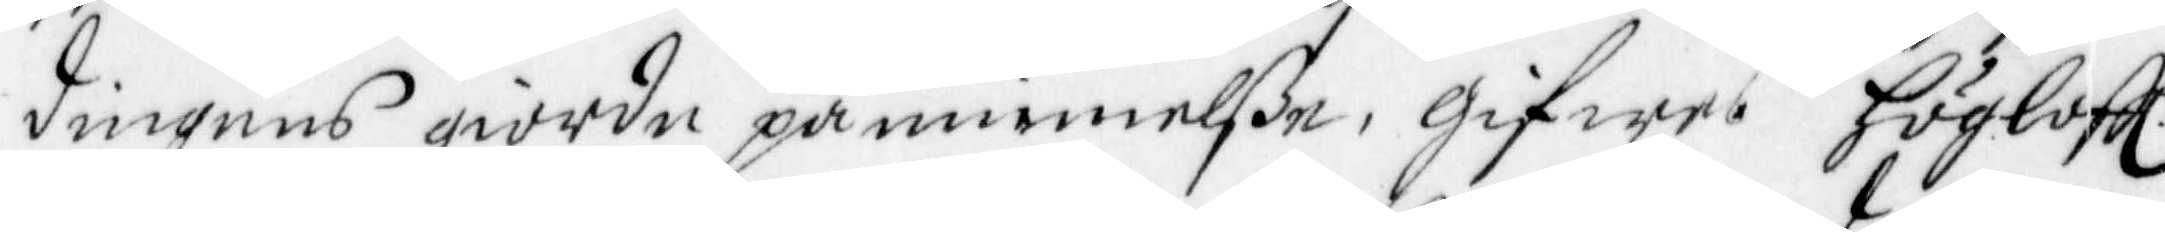dingens giorde påminnelße, gifwes Högloffl:
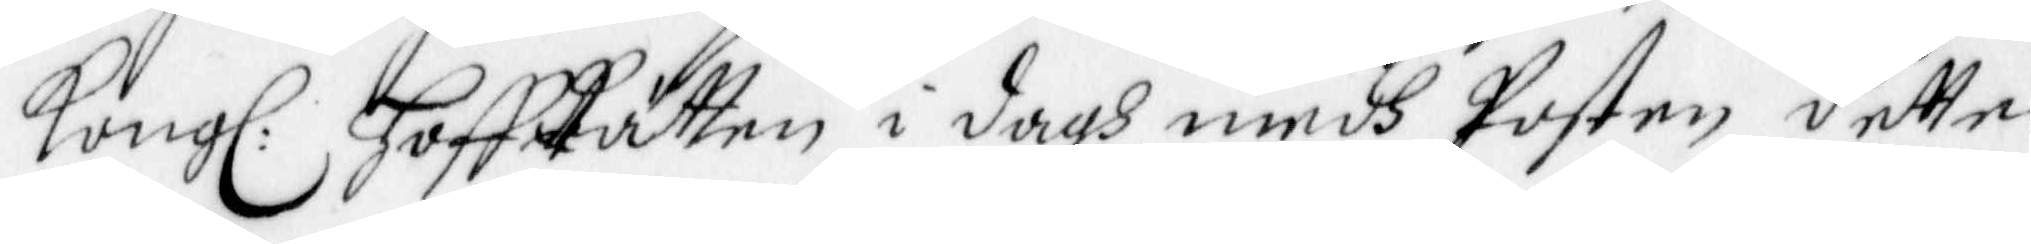Kongl: HoffRätten i dagh medh Posten dette
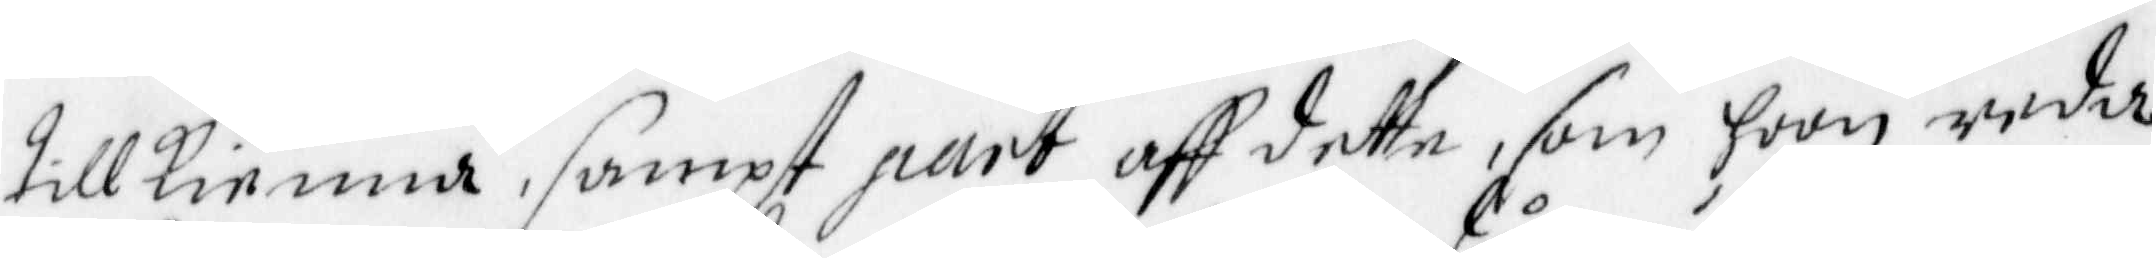till kienna, sampt part aff dette, som hoon reda
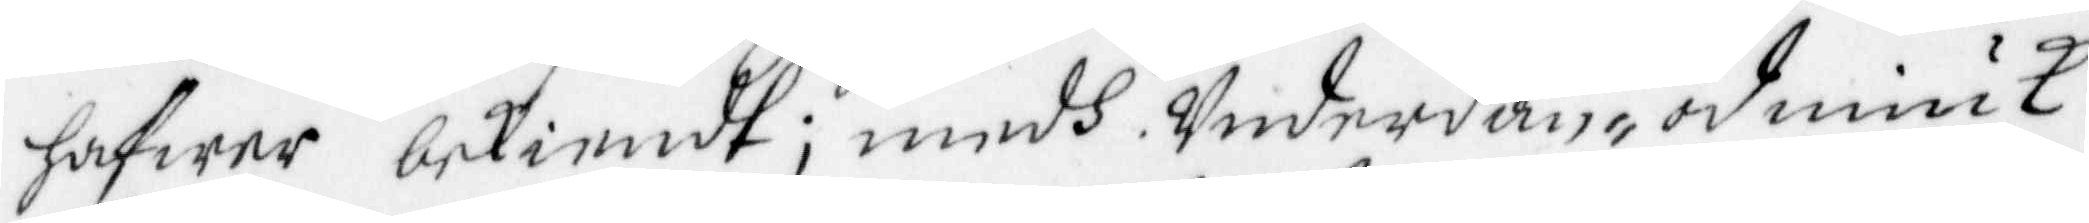hafwer bekienndt; medh Underdån, ödmiuk
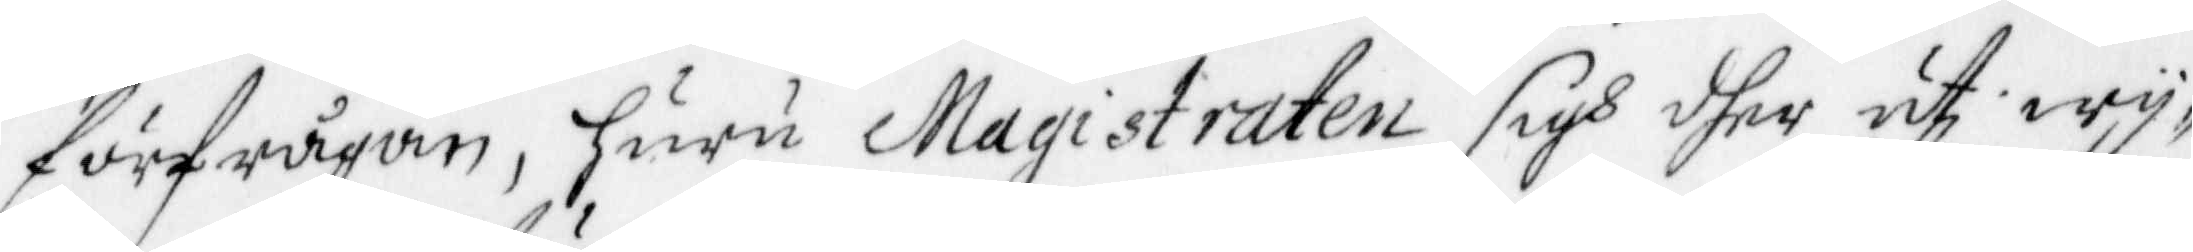förfrågan, huru Magistraten sigh dher uti wy¬
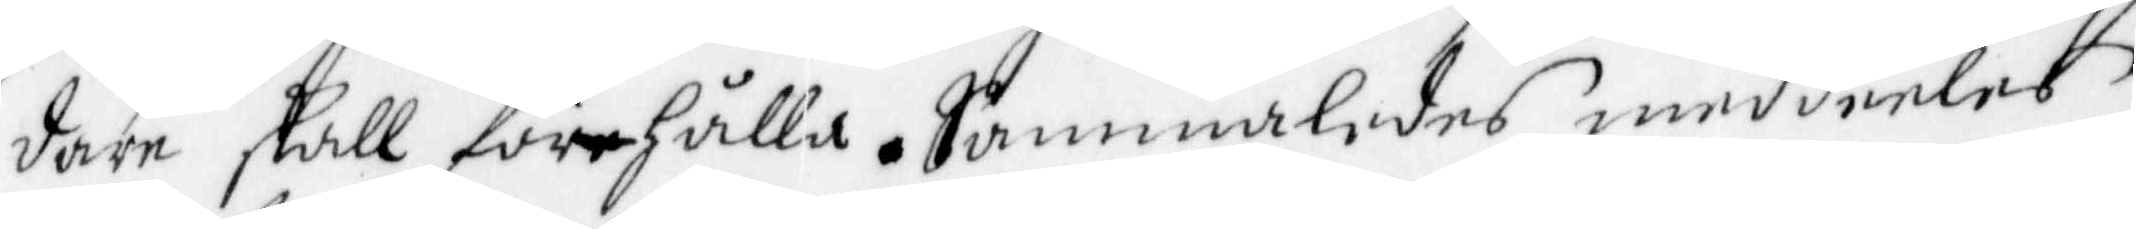dare skall förehålla. Sammaledes meddeeles
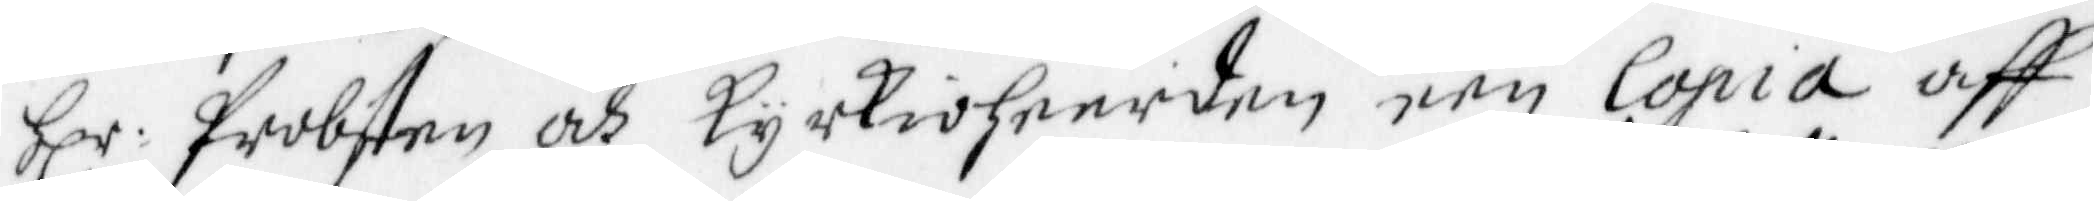Hlr. Probsten och kyrkioheerden een Copia aff
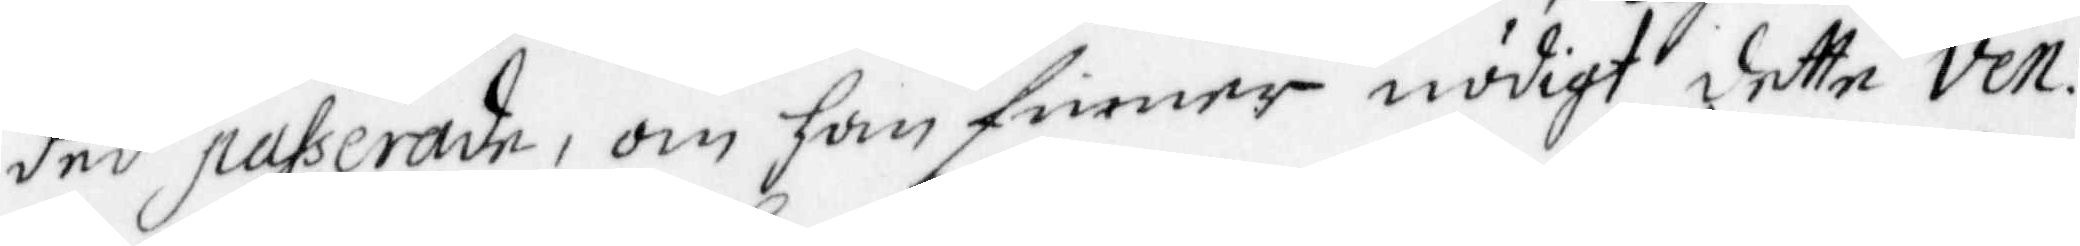ded passerade, om han finner nödigt detta Ven:
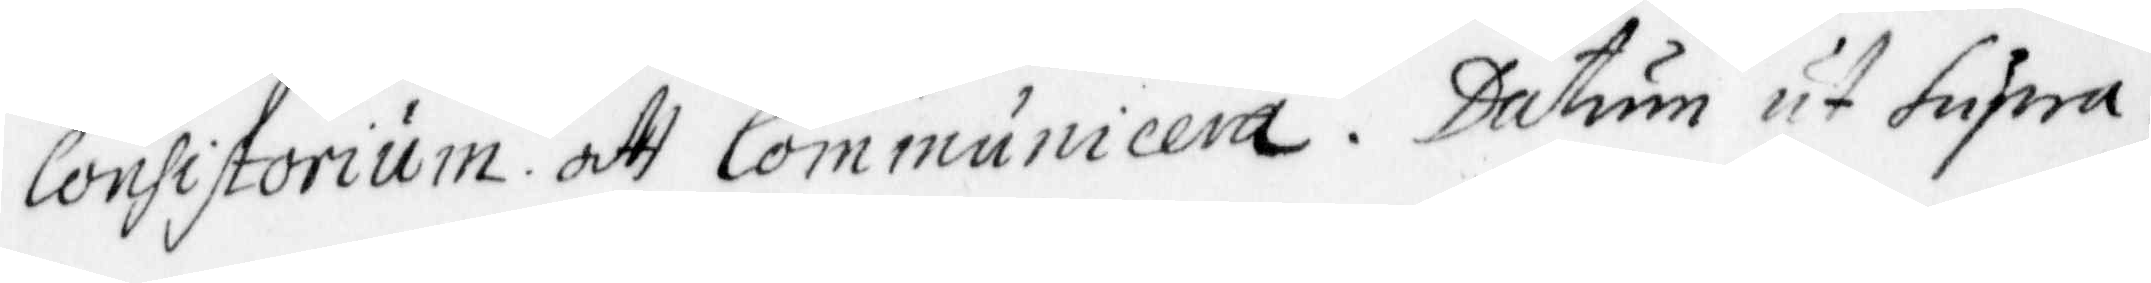Consistorium att Communicera. Datum ut Supra.
